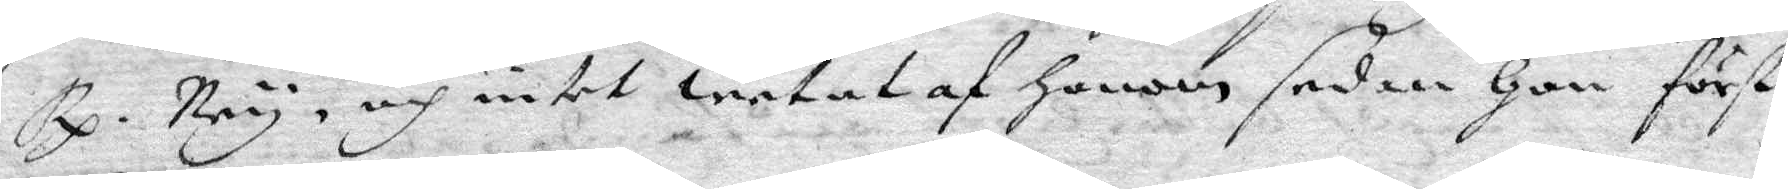Rp. Ney, och intet wetat af honom sedan Hon först
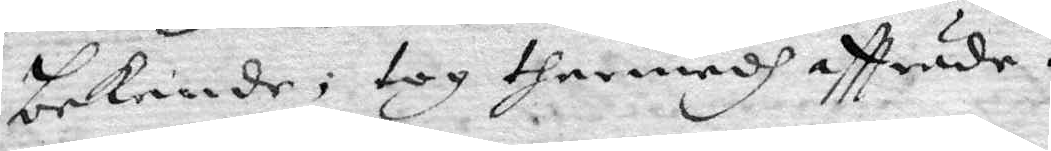bekende; tog thermedh aftträde.
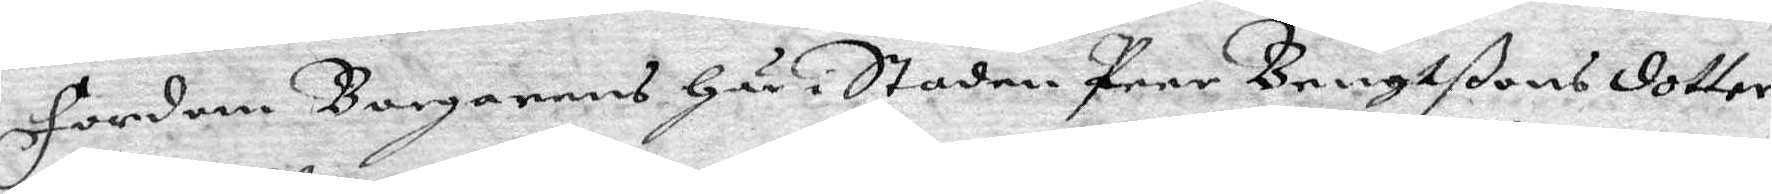fordom Borgarens Här i Staden Peer Bengtßons dotter
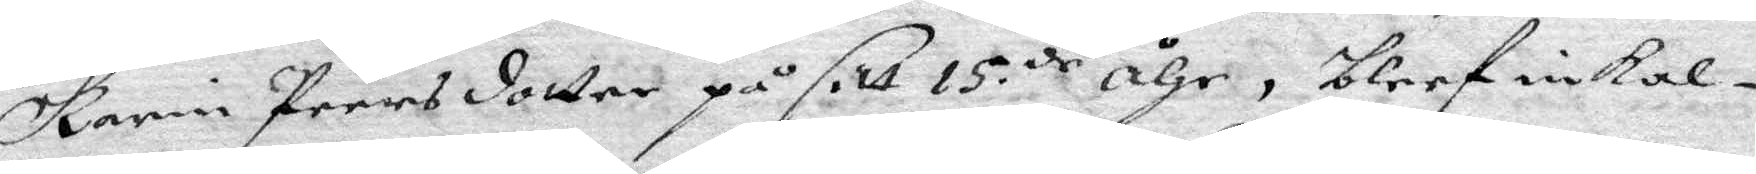Karin Peersdotter på sitt 15.de åhr, blef inkal¬
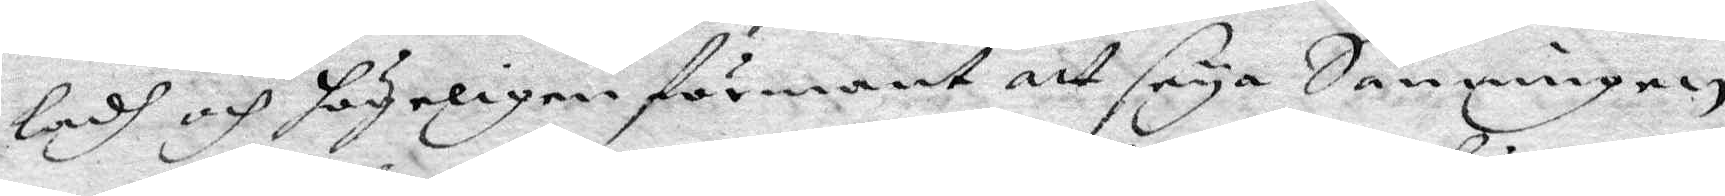ladh och högeligen förmanat att seya Sanningen
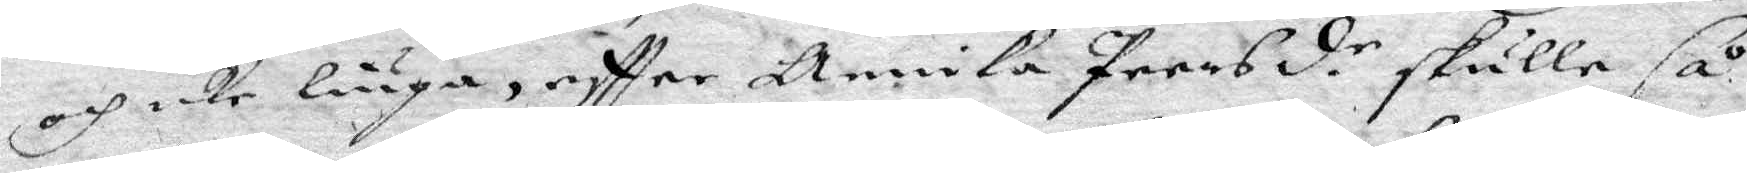och icke liuga, eftter Annika Peersd.r skulle så
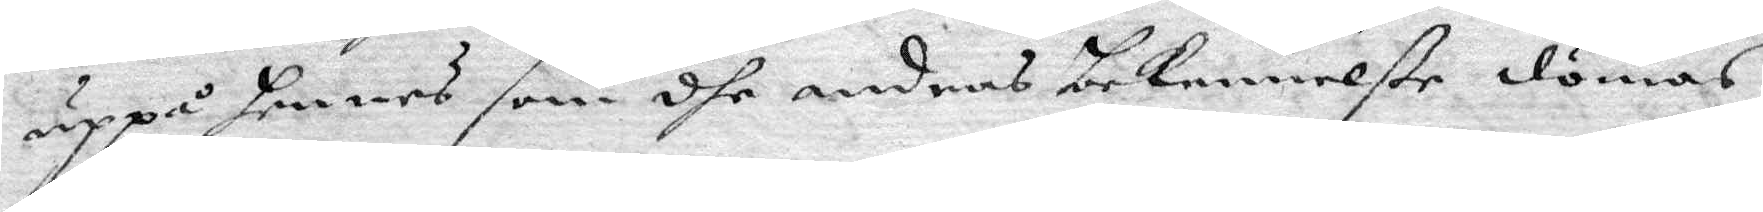uppå hennes som dhe andras bekennelße dömas
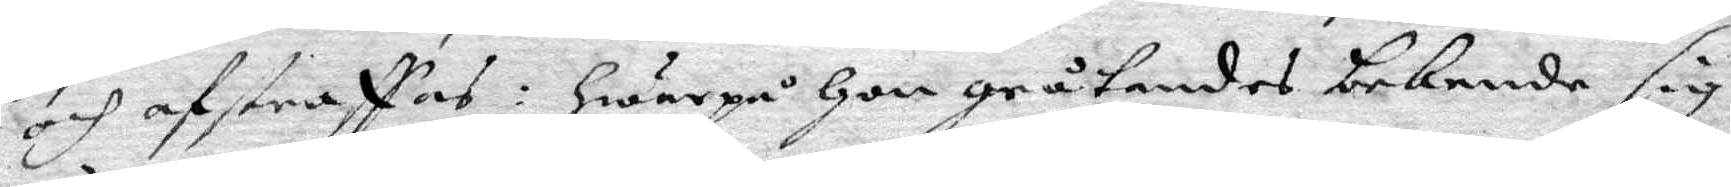och afstraffas: Hwarpå Hon gråtande bekende sig
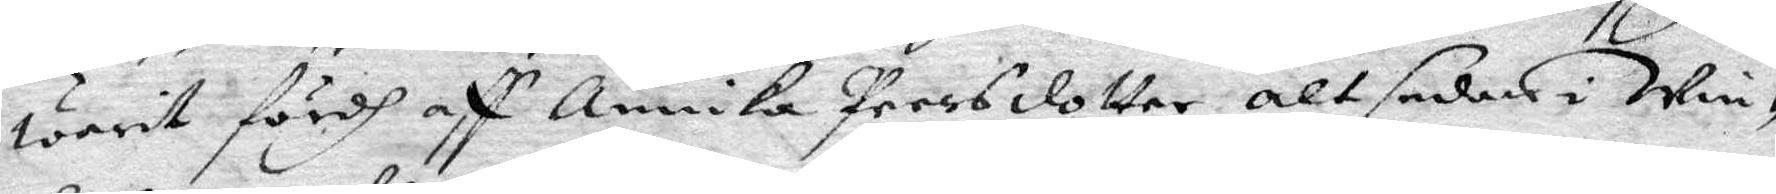warit fördh aff Annika Peersdotter altsedan i win¬
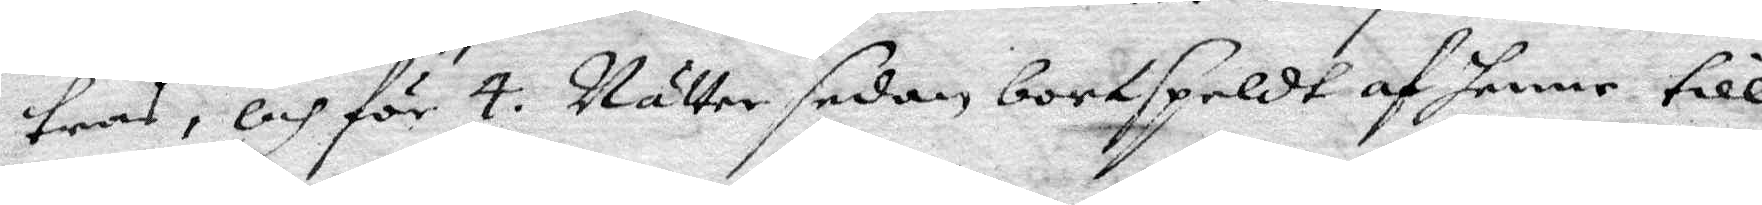tras, och för 4. Nätter sedan bortspeldt af henne till
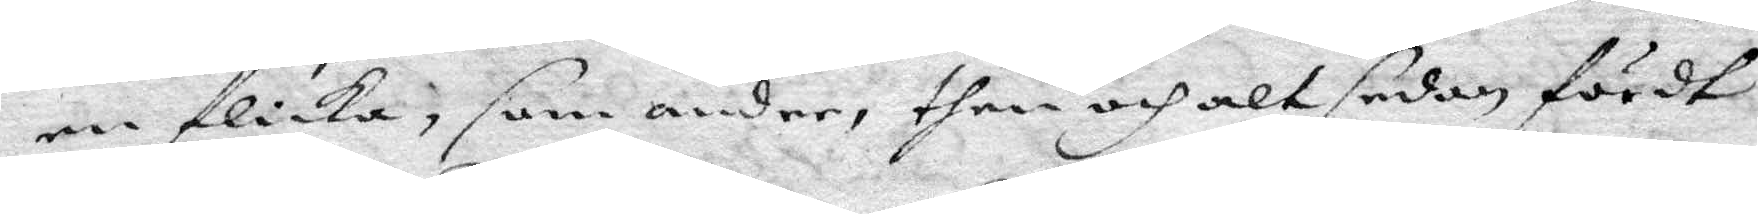en flicka, som andre then och alt sedan fördt
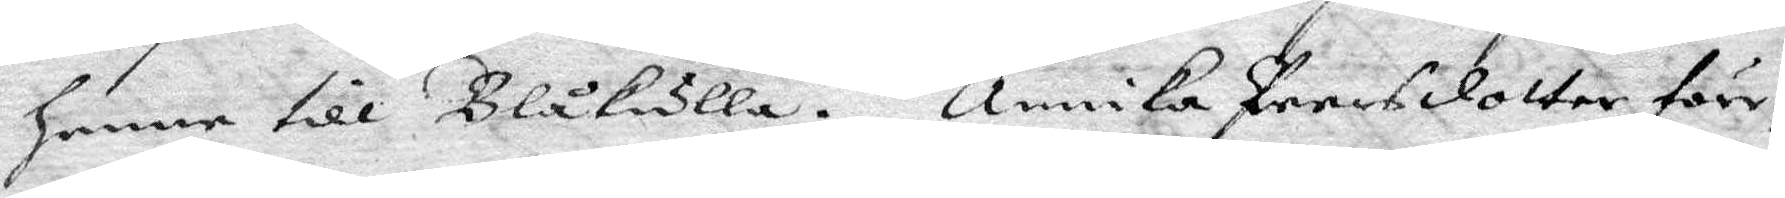henne till Blåkulla. Annika Peersdotter före¬
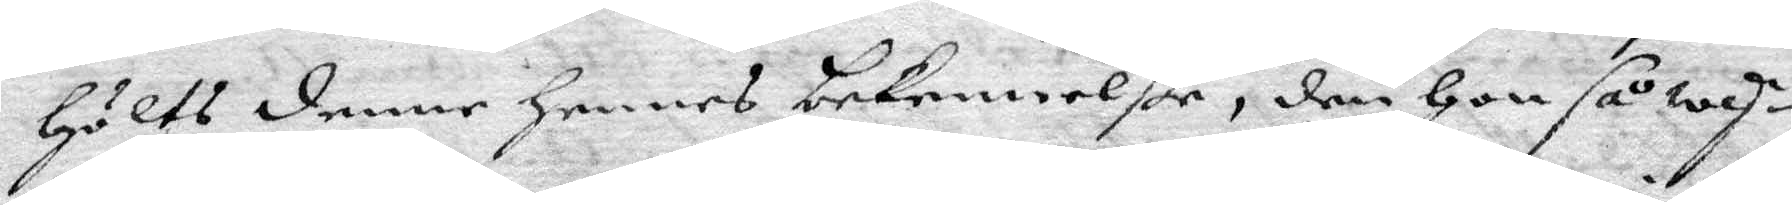hölts denne hennes bekennelße, den Hon såwy¬
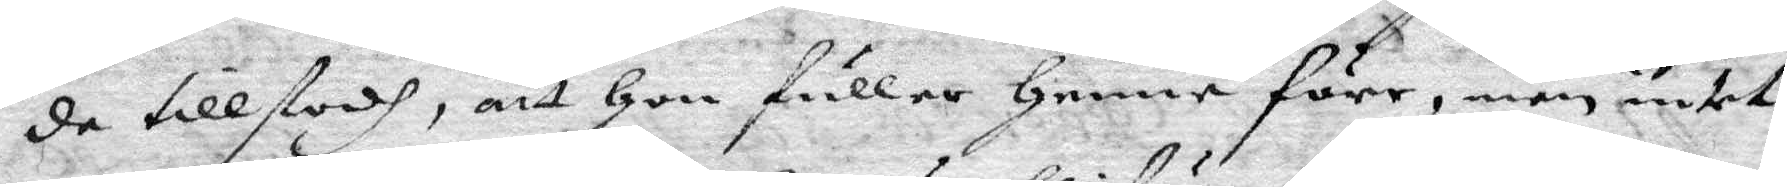da tillstodh, att Hon fuller Henne före, men intet
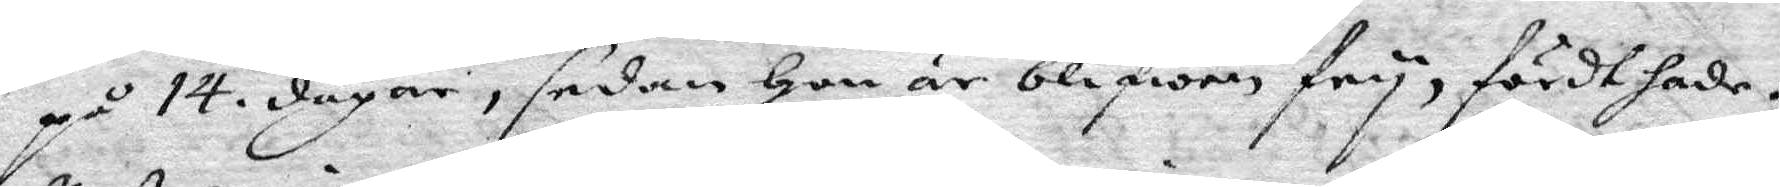på 14. dagar, sedan Hon är blifwen fry, fördt hade;
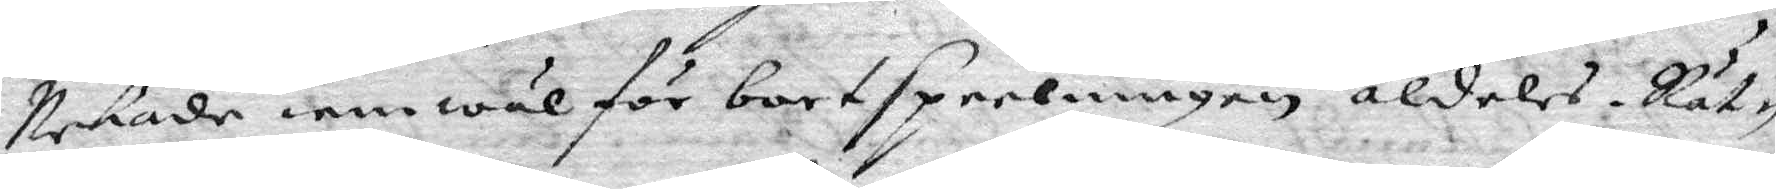Nekade iemwäl för bortspeelningen aldeles. Rät¬
